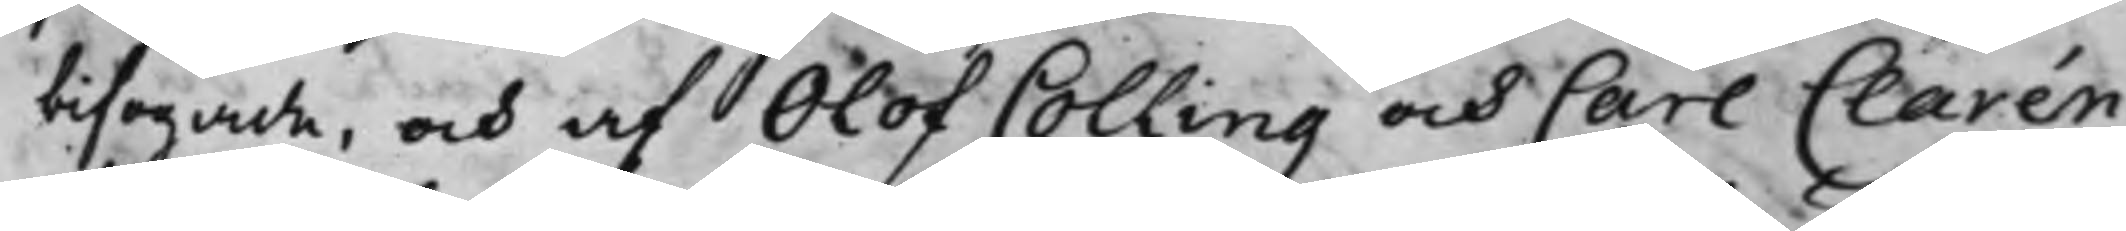bifogade, och af Olof Colling och Carl Clarén
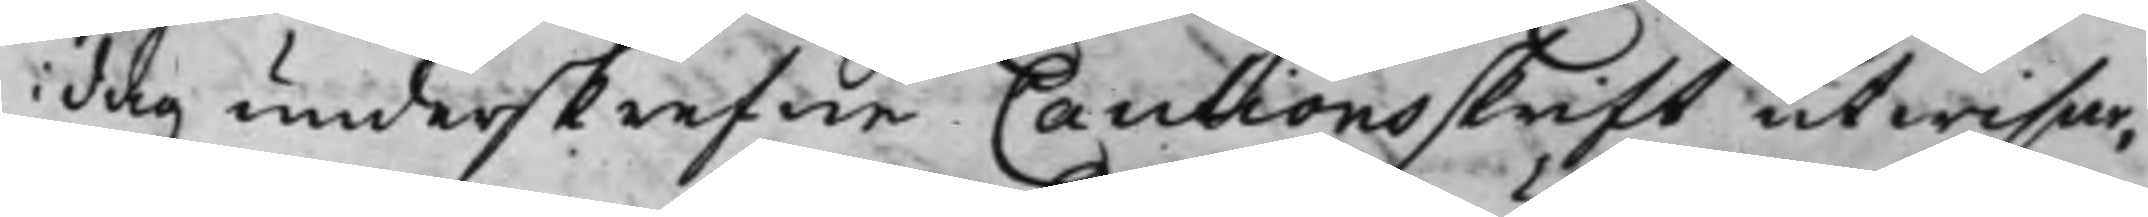i dag underskrefne Cautionsskrift utwisar,
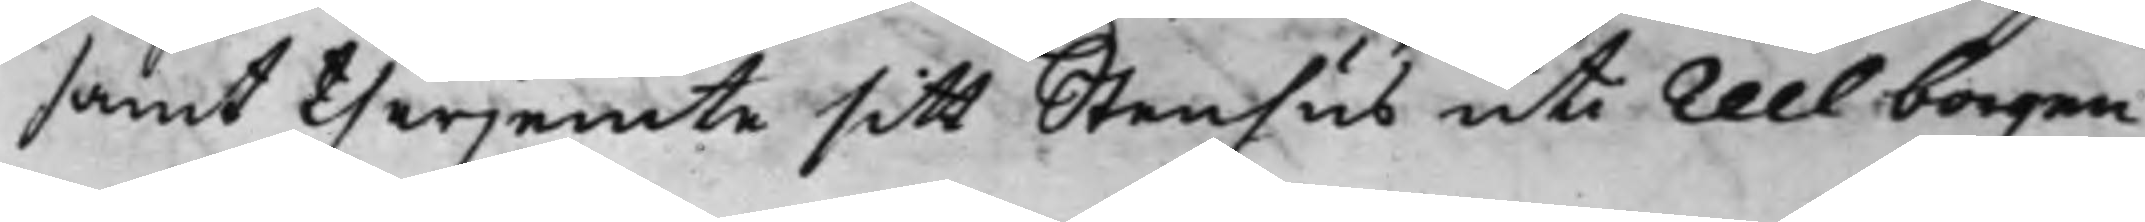samt therjemte sitt Stenhus uti Reel borgen
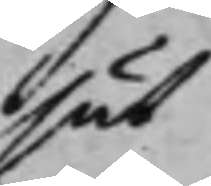sät¬
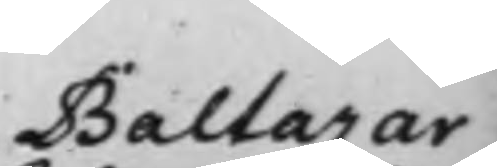Baltazar
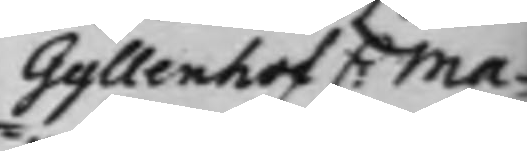Gyllenhof C: Ma¬
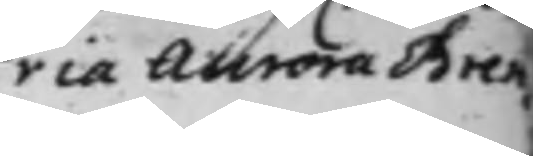ria Aurora Bren¬
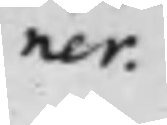ner.
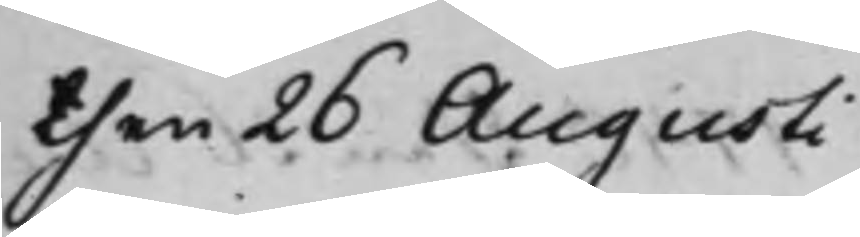then 26 Augusti
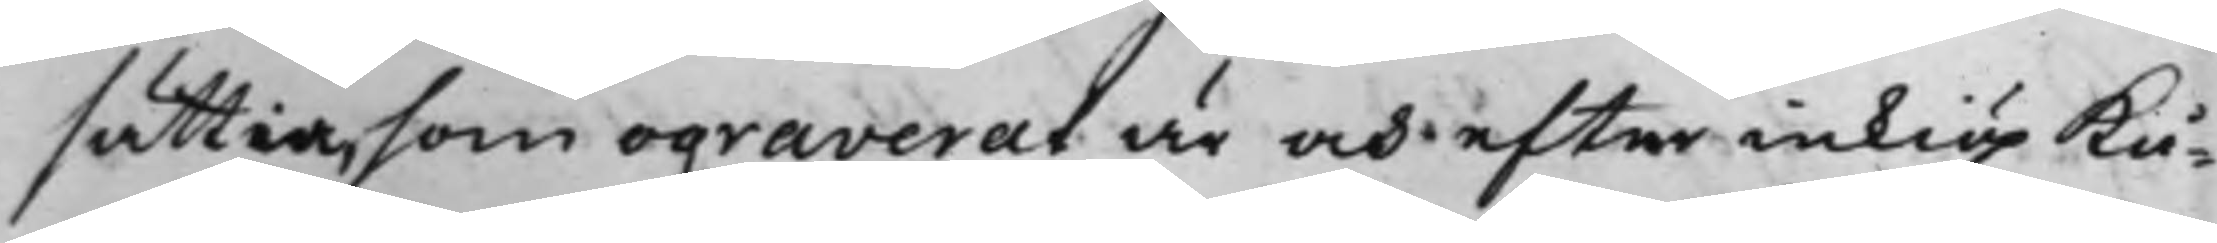sättia, som ograverat är och efter inkiöp kå¬
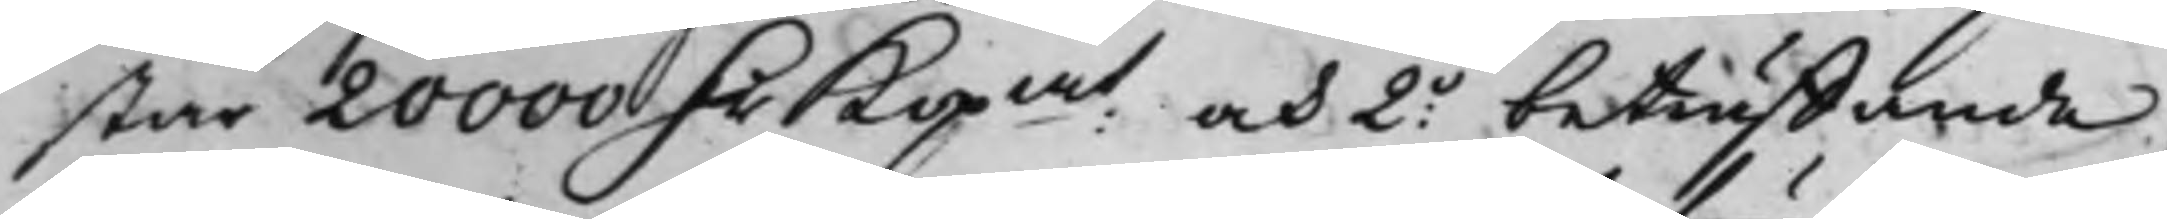står 20000 D.r Kopmt och 2o beträffande
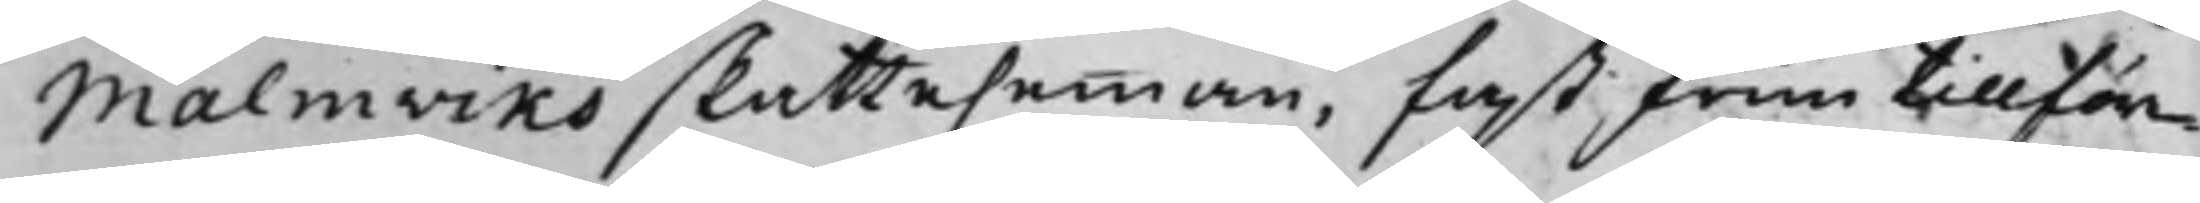Malmviks skattehemman, fast frun tillför¬
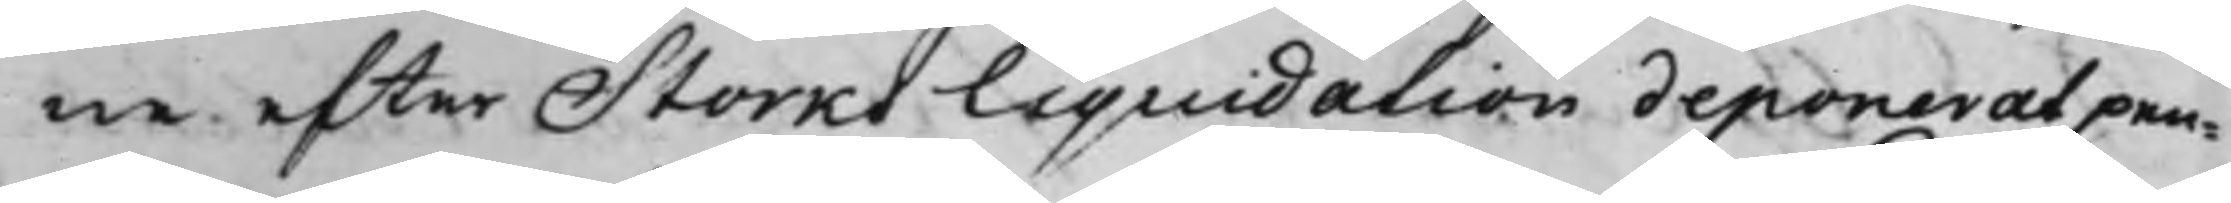ne efter Storks liquidation deponerat pen¬
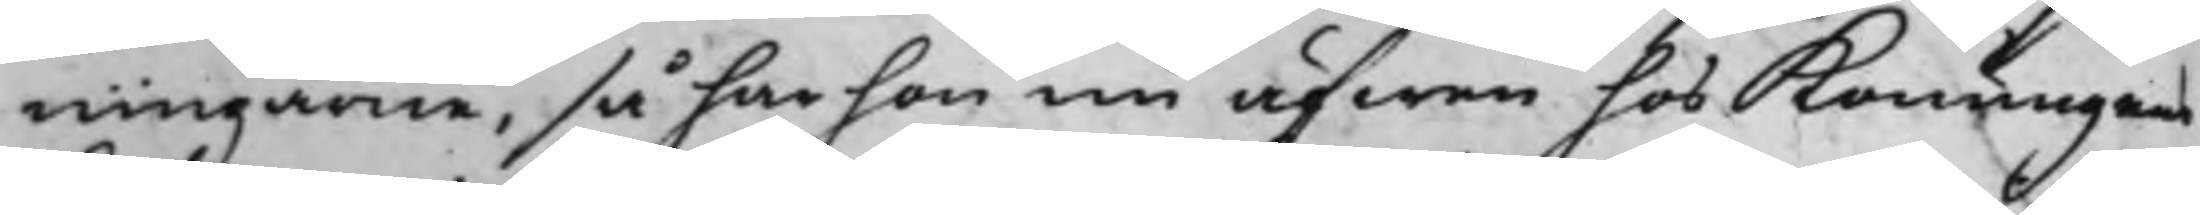ningarne, så har hon nu äfwen hos Konungens
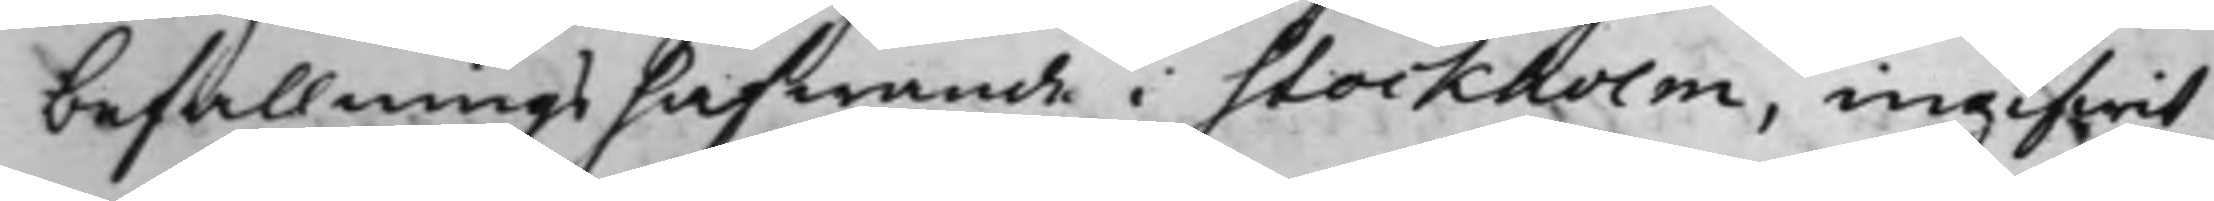befallningshafwande i Stockholm, ingifwit
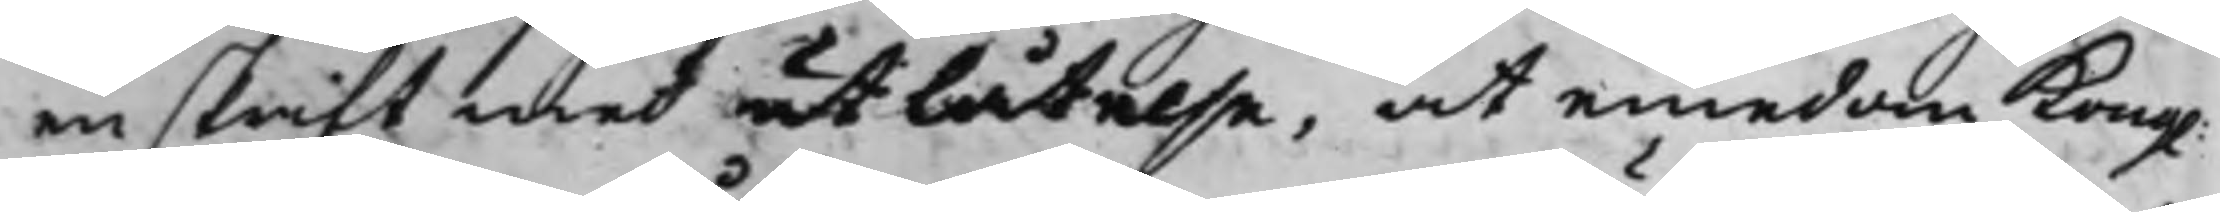en skrift med utlåtelse, at emedan Kong.
